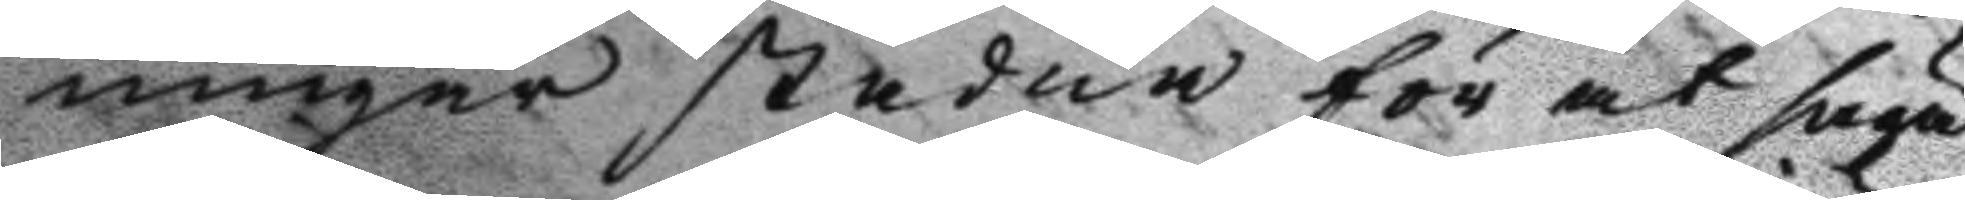ningar stadna för at säga
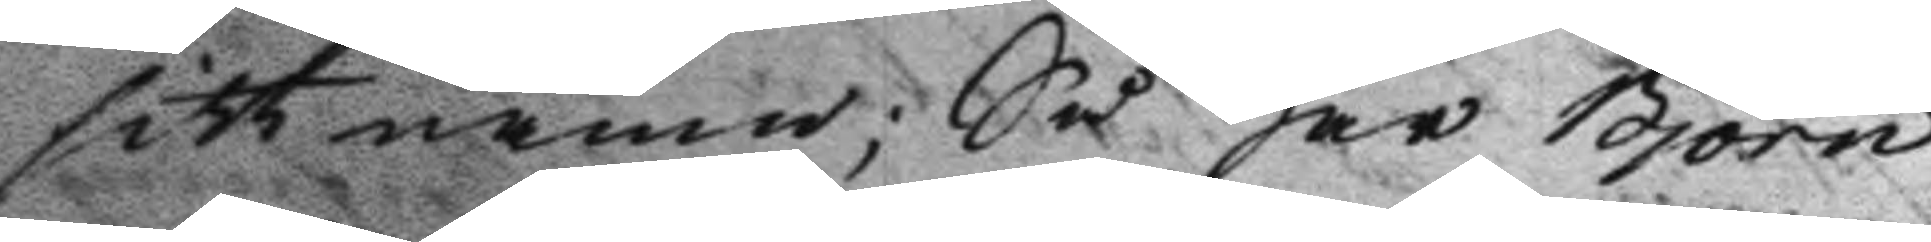sitt namn; Så har Björn
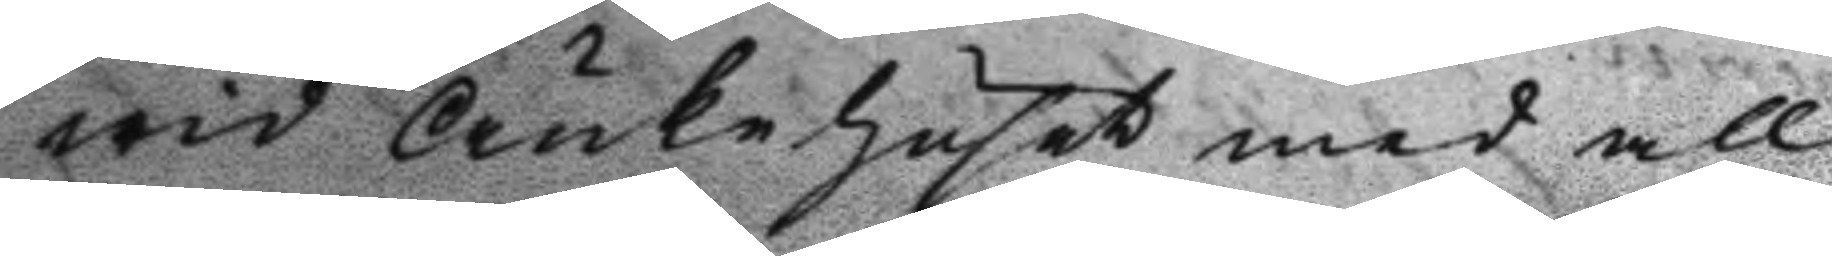wid Änkehuset med all
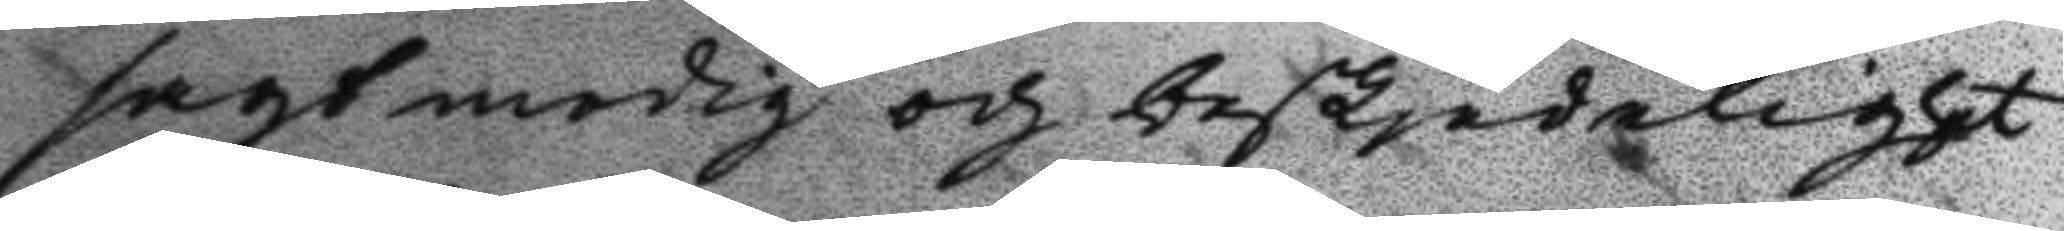sagtmodig och beskjädelighet
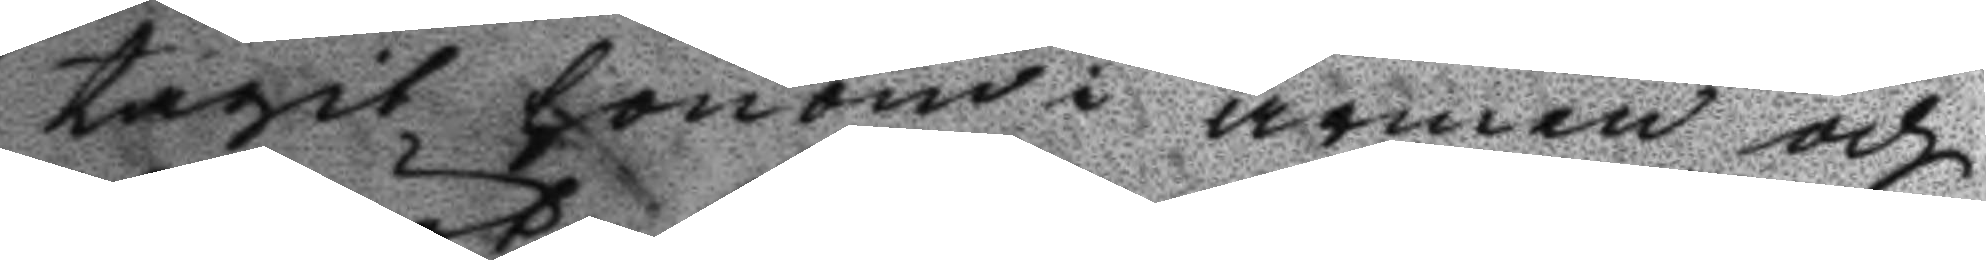tagit honom i armen och
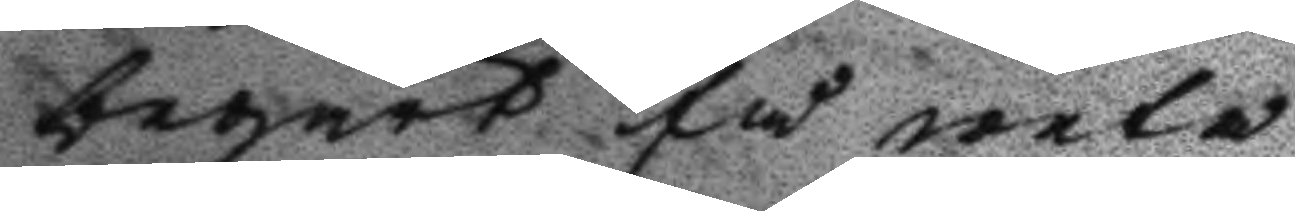begärt få weta 
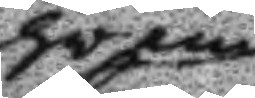hwem
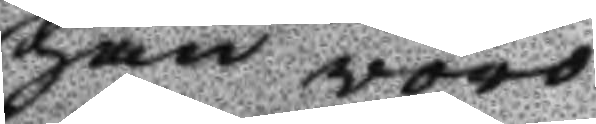han woro
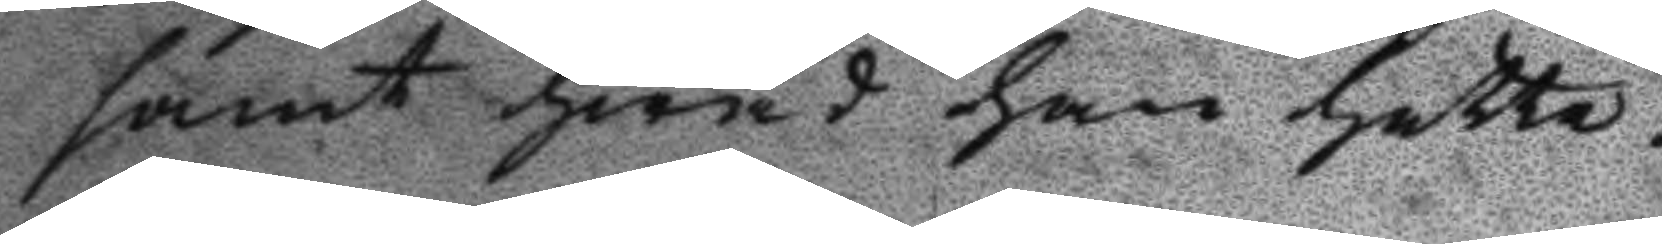samt hwad han hette.
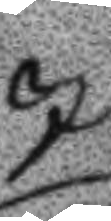I
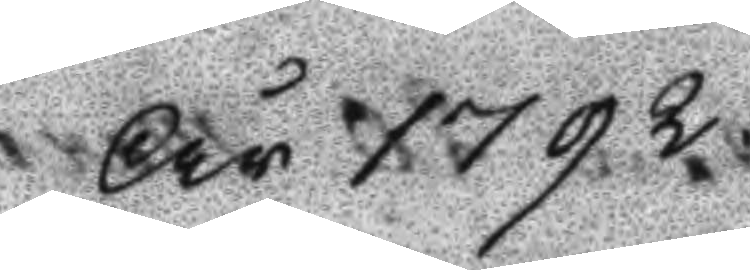År 1792
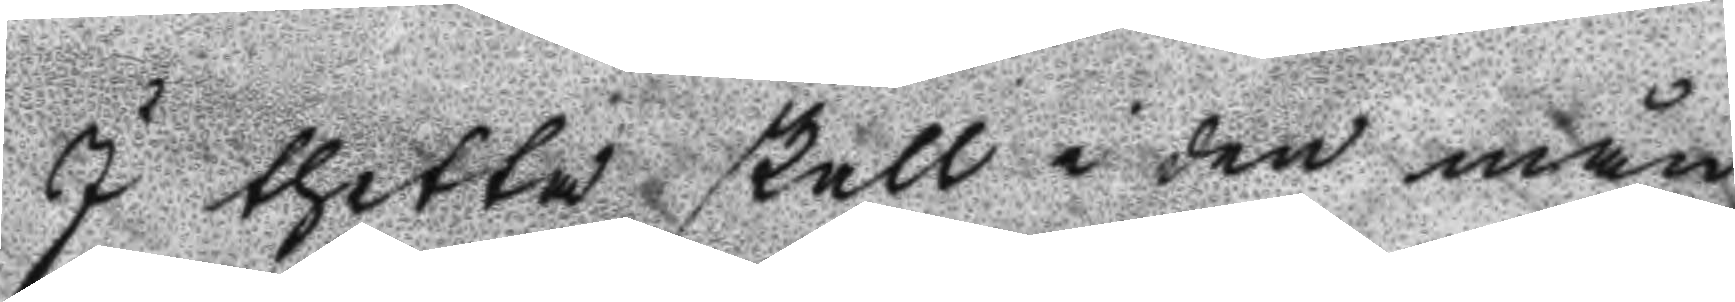I thetta skall i den mån
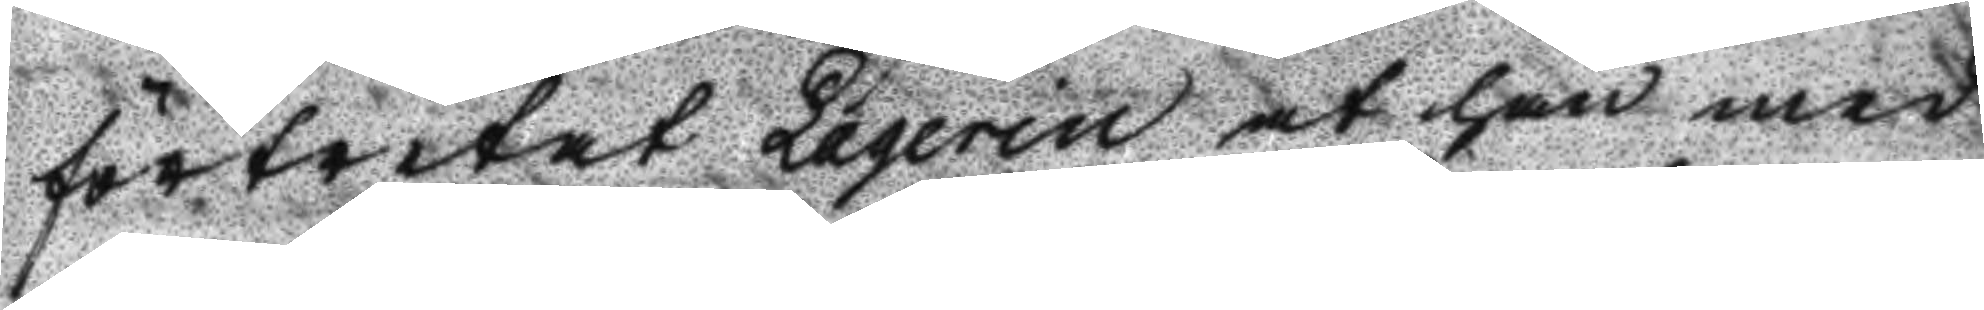förtretat Laqerin at han med
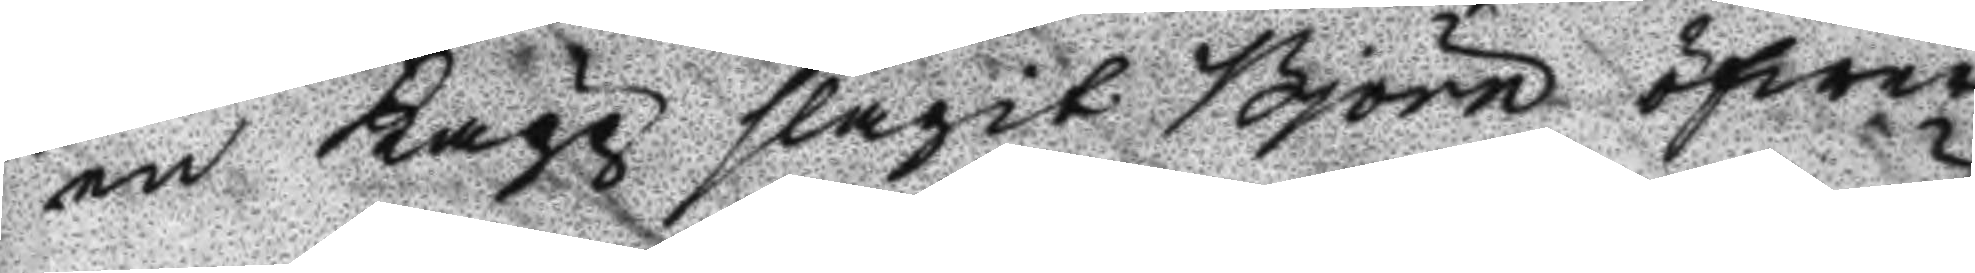en Kagg slagit Björn öfwer
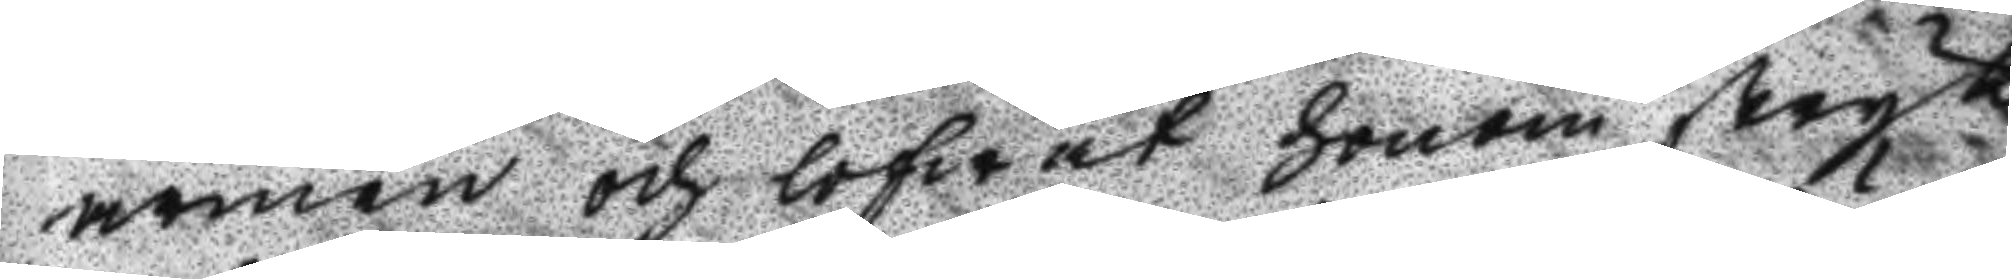armen och lofwat honom stryk
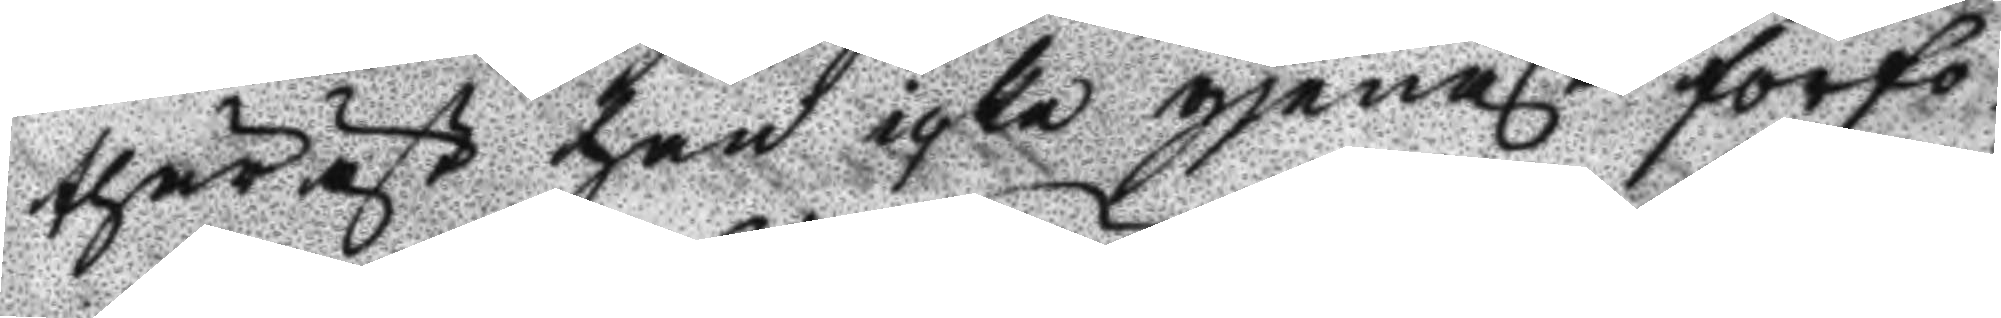thäräst han icke gjenast förfo¬
